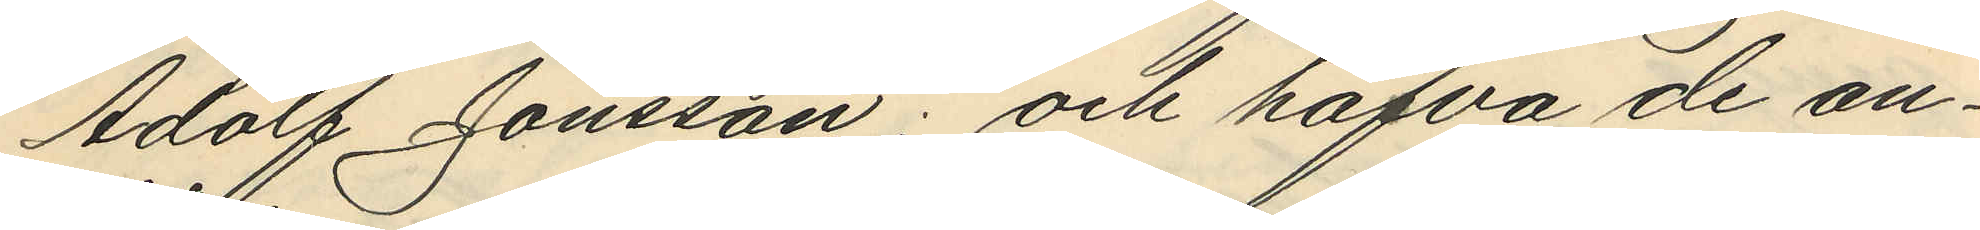Adolf Jönsson; och hafva de an¬
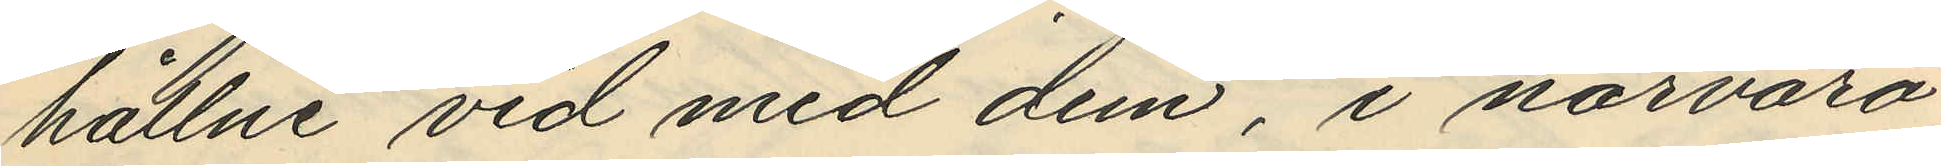hållne vid med dem i närvaro
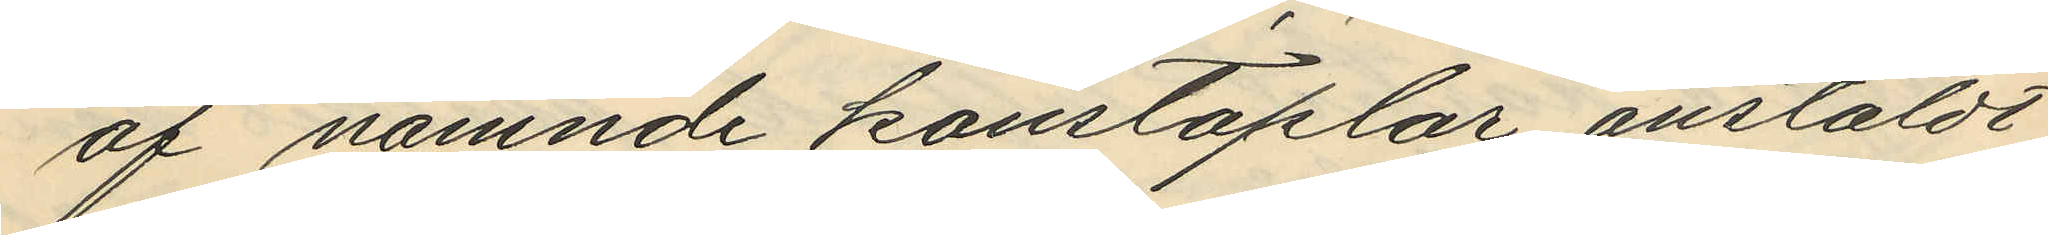af nämnde konstaplar anstäldt
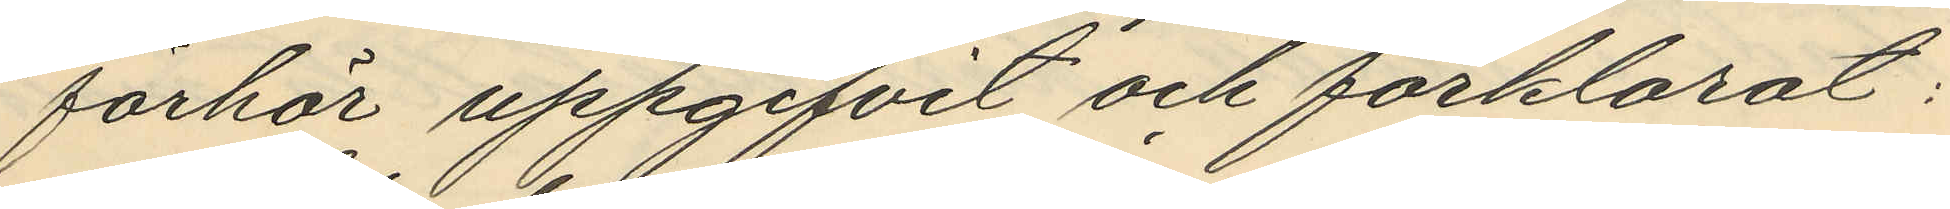förhör uppgifvit och förklarat:
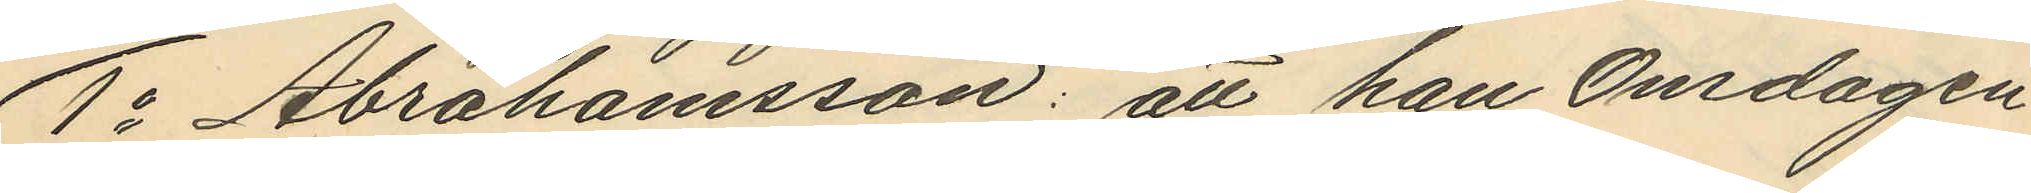1o Abrahamsson: att han Onsdagen
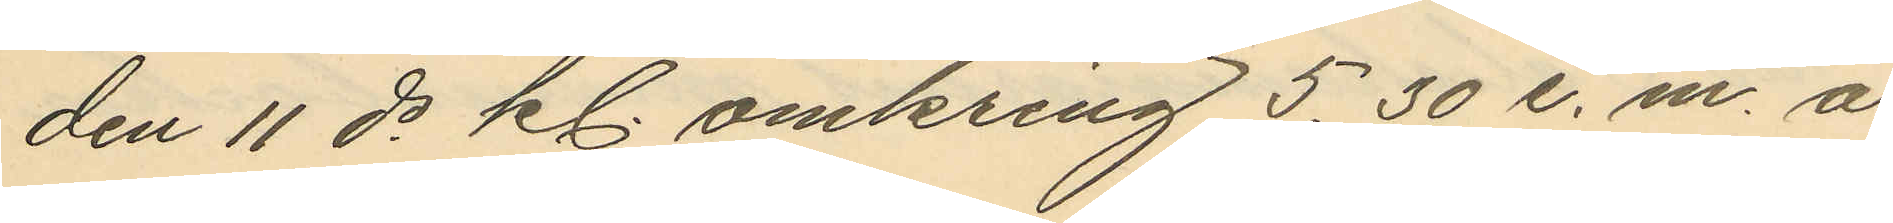den 11 ds kl. omkring 5,30 e. m. å
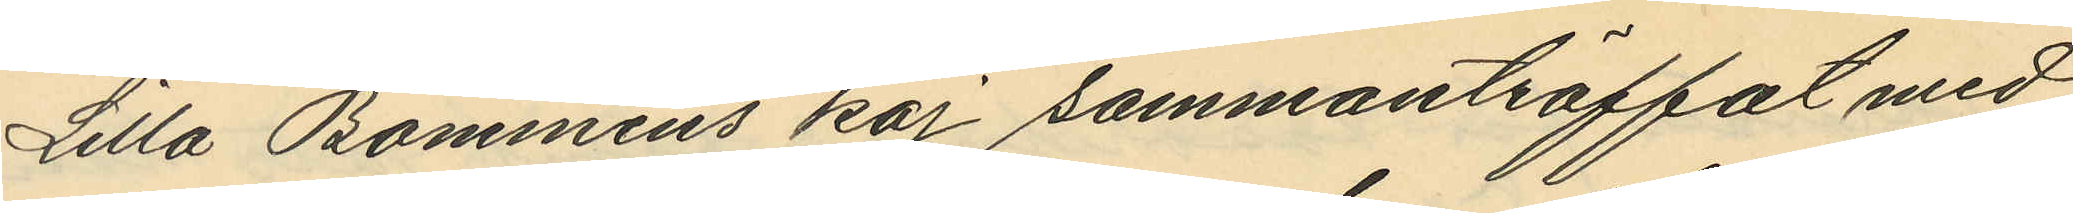Lilla Bommens kaj sammanträffat med
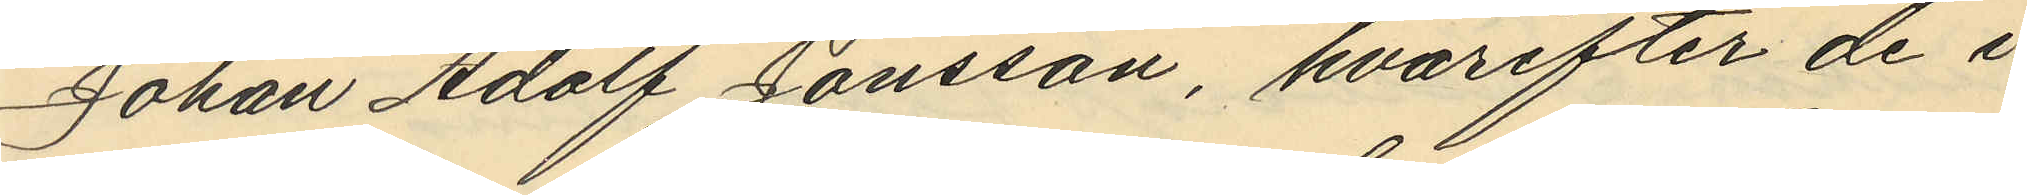Johan Adolf Jönsson, hvarefter de i
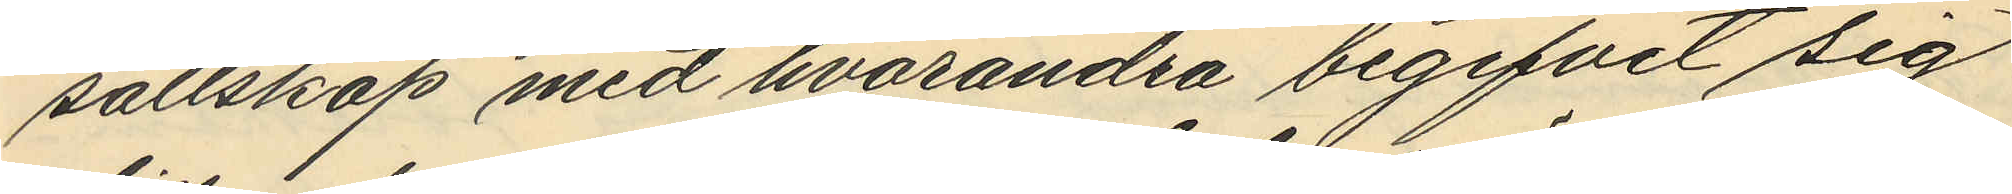sällskap med hvarandra begifvit sig
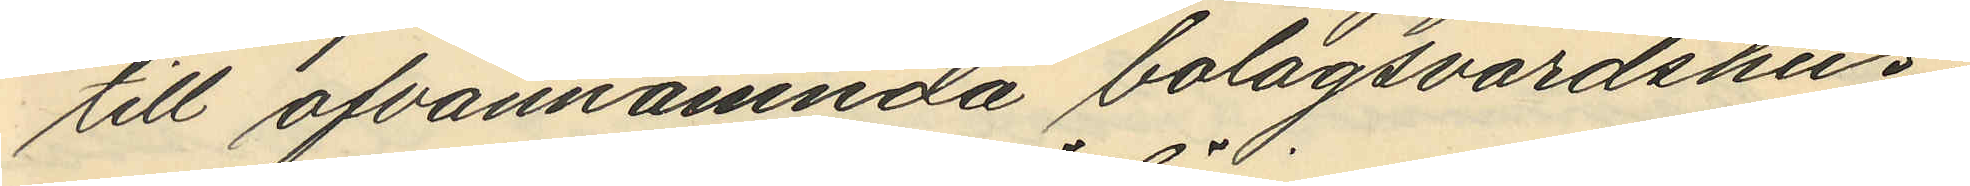till ofvannämnda bolagsvärdshus
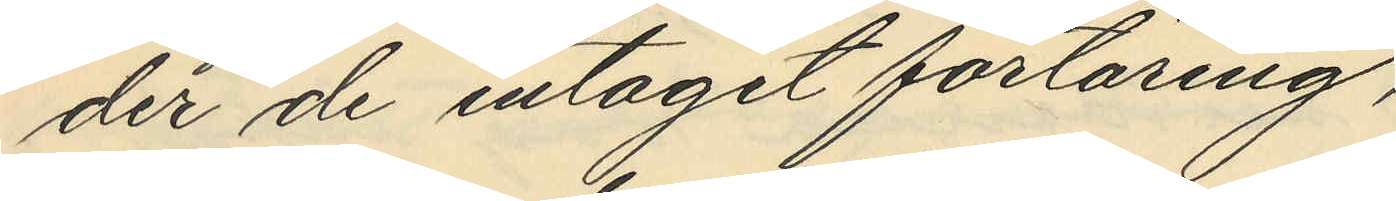der de intagit förtäring,
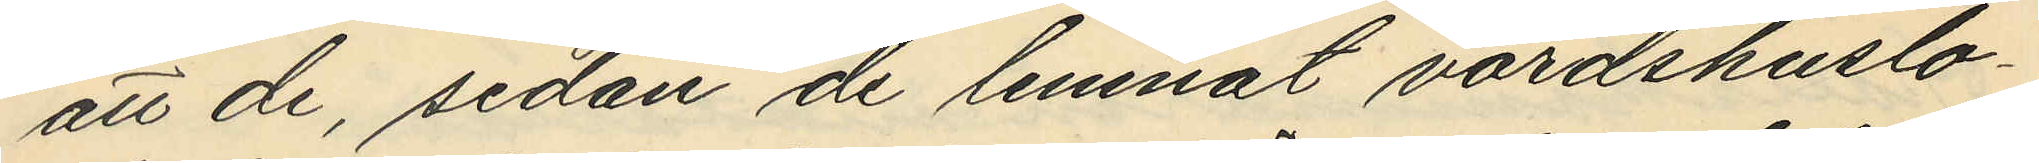att de, sedan de lemnat värdshuslo¬
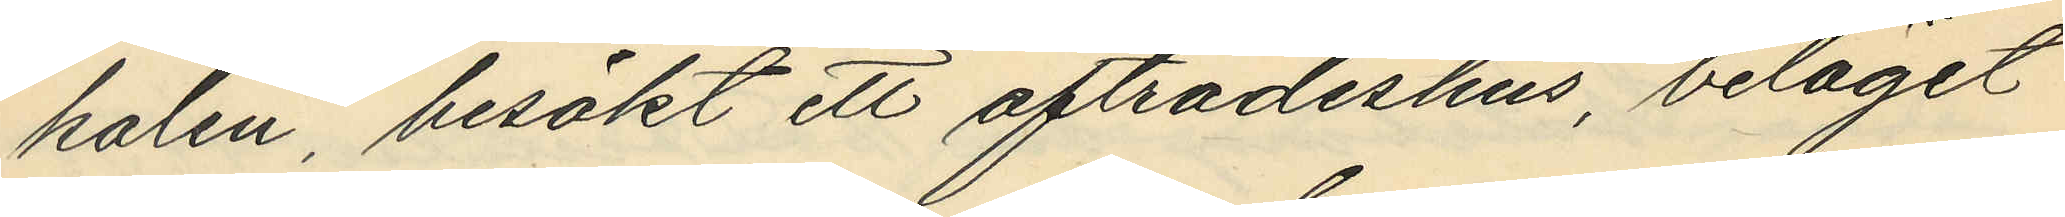kalen, besökt ett afträdeshus, beläget
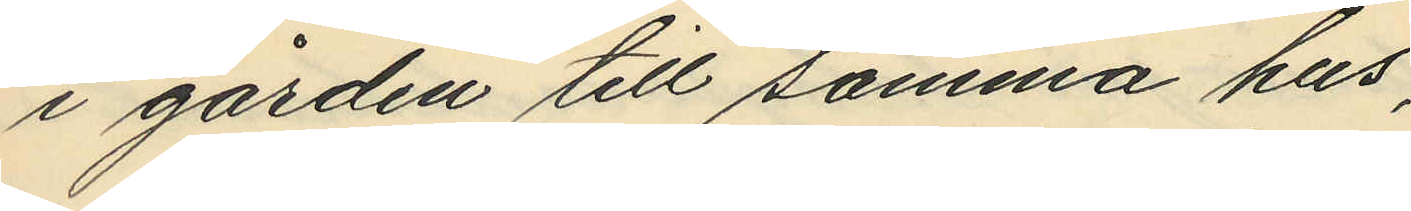i gården till samma hus,
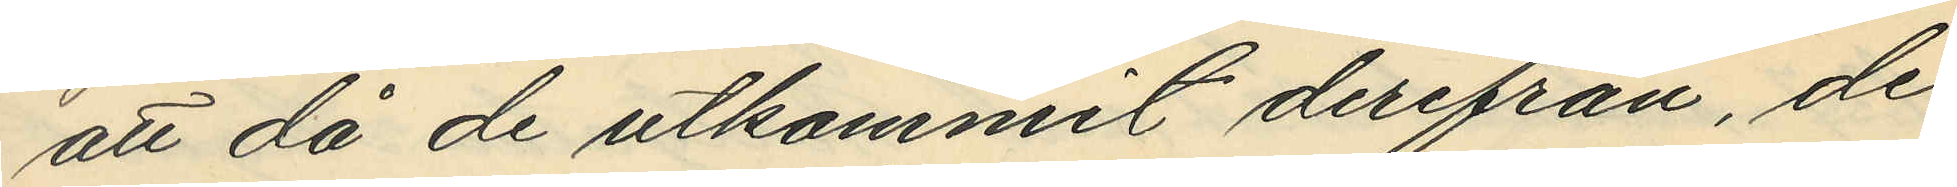att då de utkommit derifrån, de
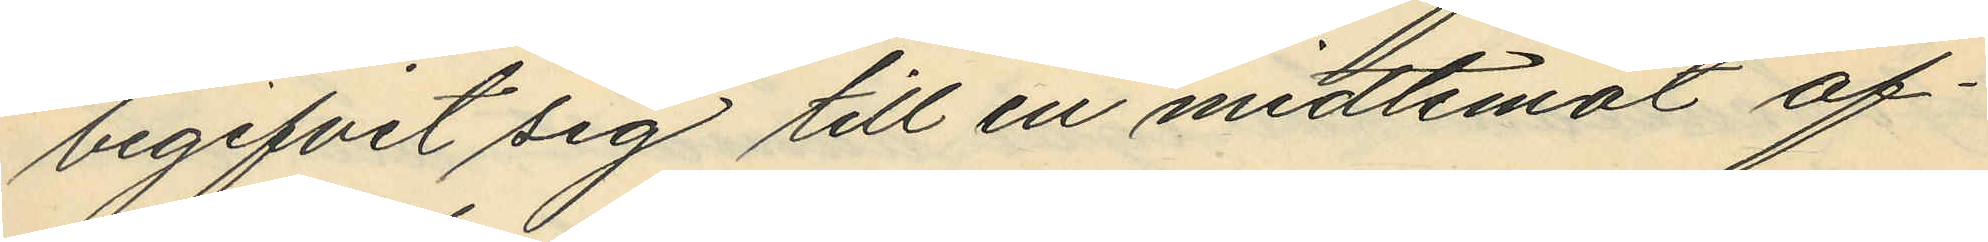begifvit sig till en midtemot af¬
